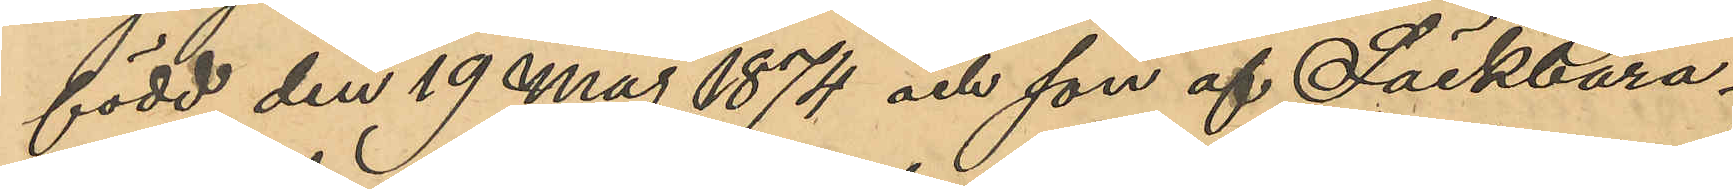född den 19 Maj 1874 och son af Säckbära¬
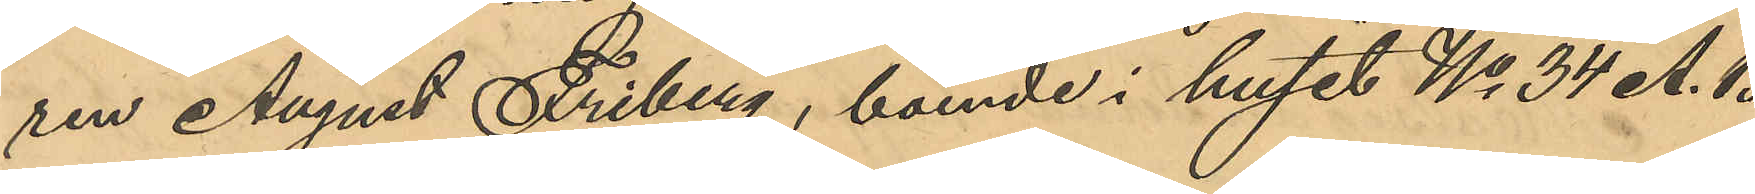ren August Friberg, boende i huset No 34 A. B
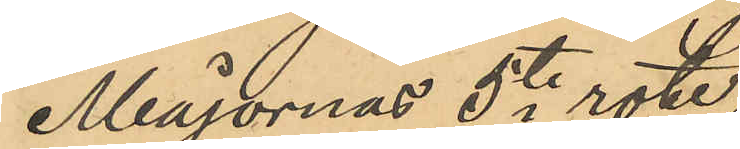Majornas 5te rote,
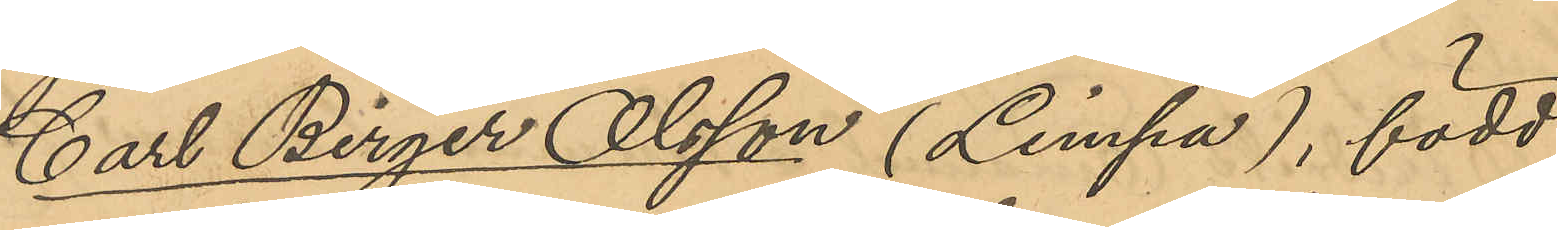Carl Birger Olsson (Limpa), född
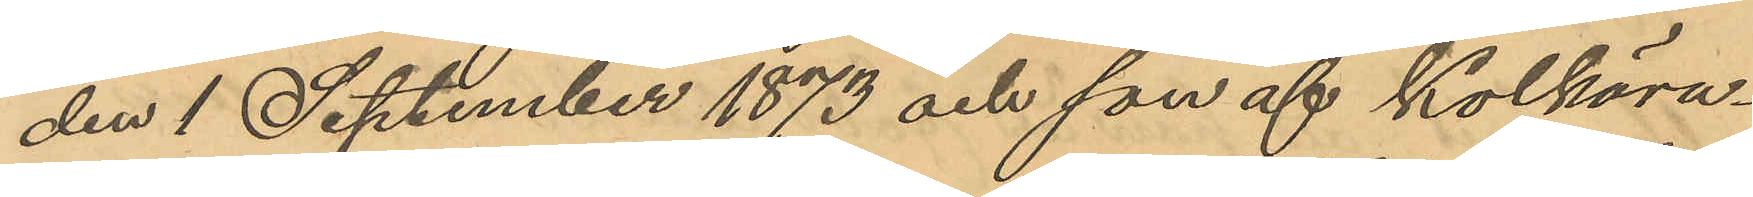den 1 September 1873 och son af Kolbära¬
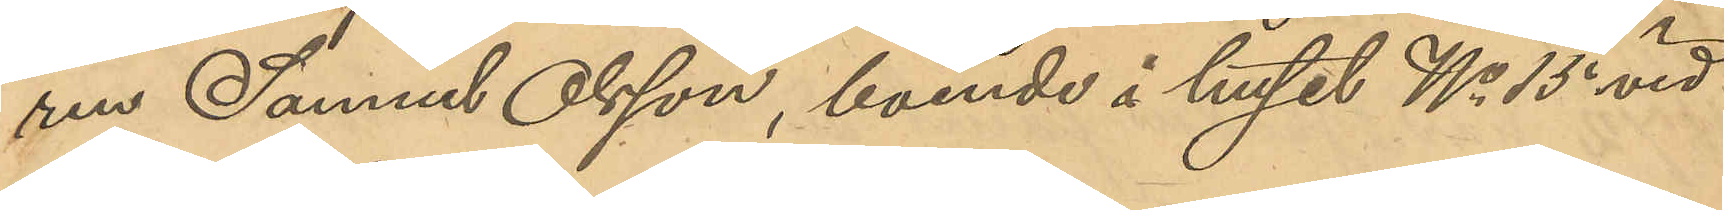ren Samuel Olsson, boende i huset No 15 vid
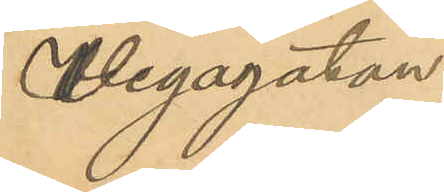Vegagatan,
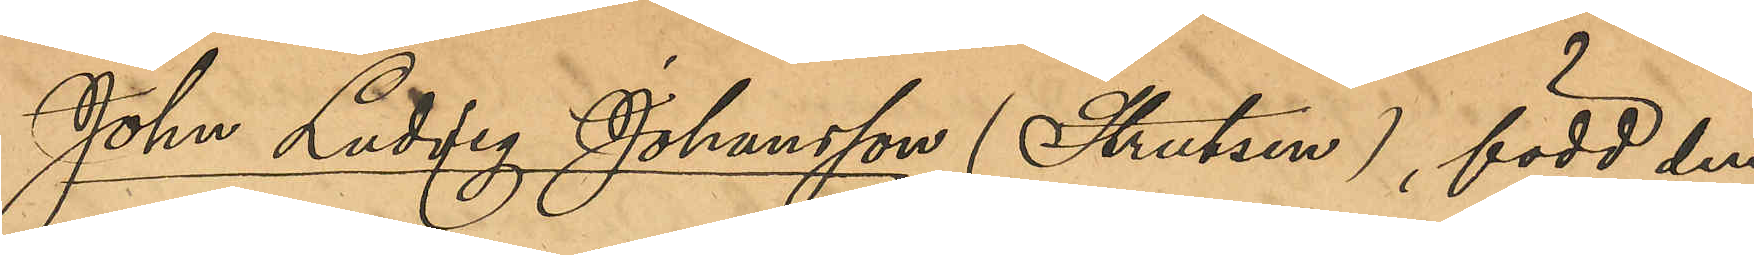Johan Ludvig Johansson (Strutsen), född den
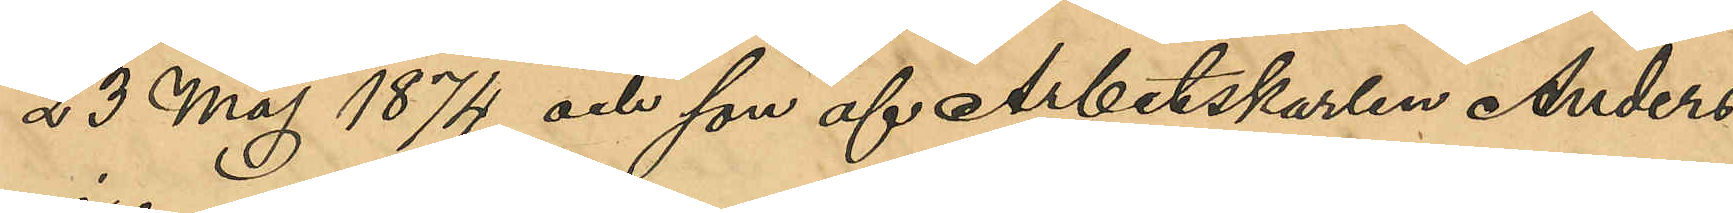23 Maj 1874 och son af Arbetskarlen Anders
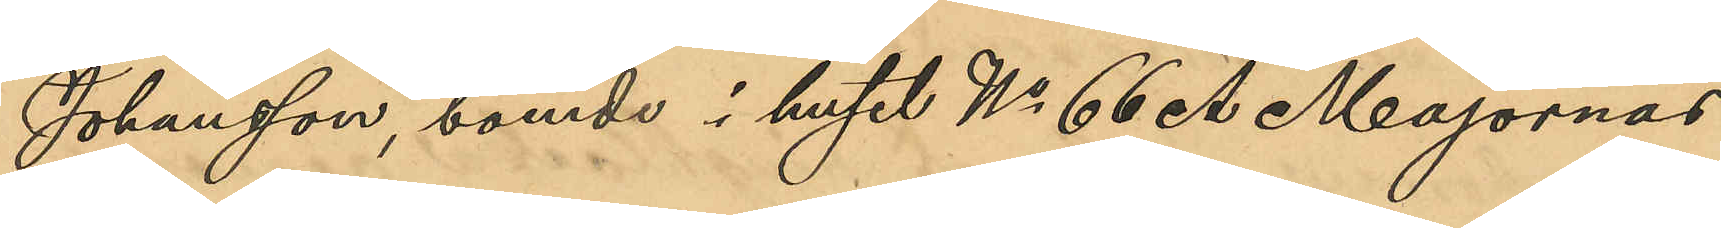Johansson, boende i huset No 66 A Majornas
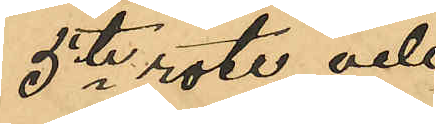5te rote, och
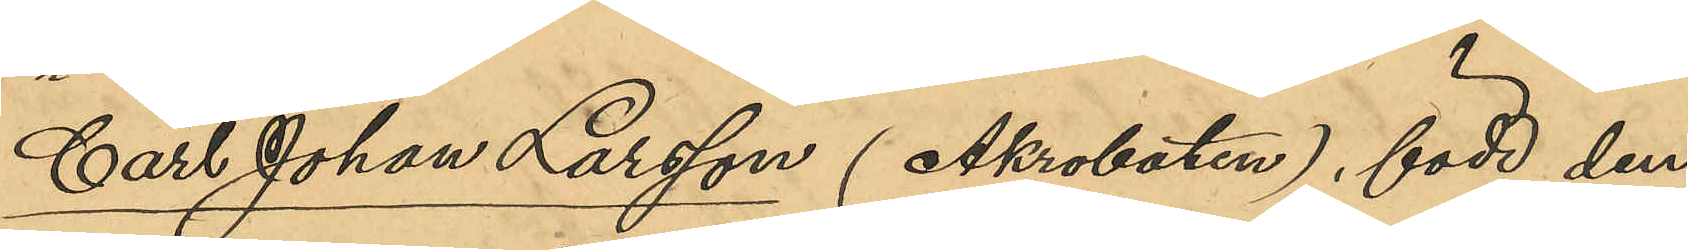Carl Johan Larsson (Akrobaten), född den
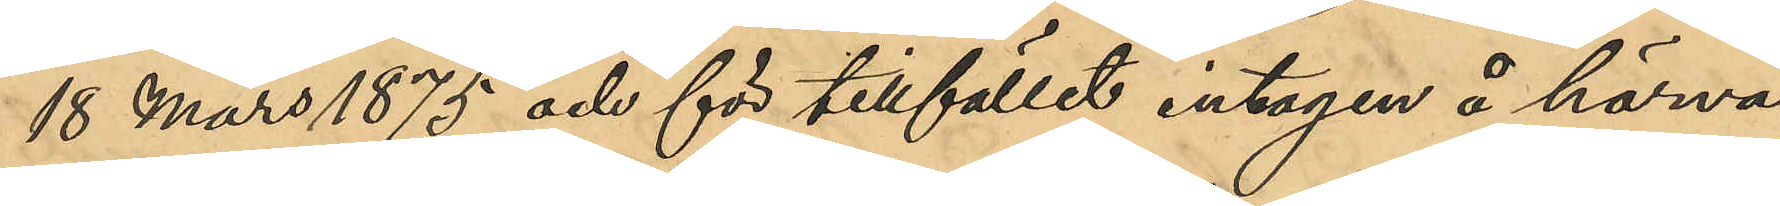18 Mars 1875 och för tillfället intagen å härva¬
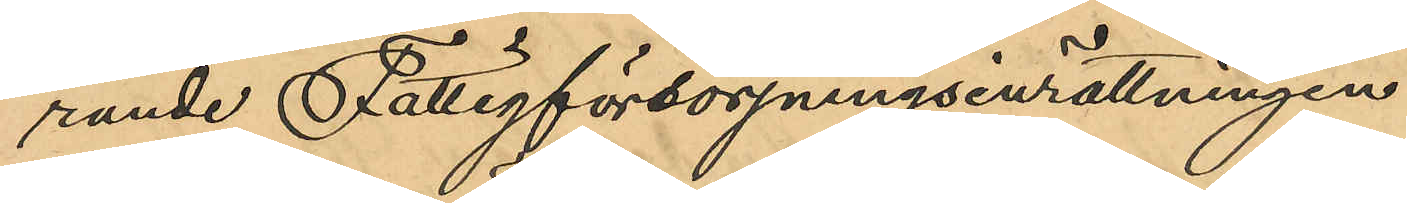rande Fattigförsörjningsinrättningen.
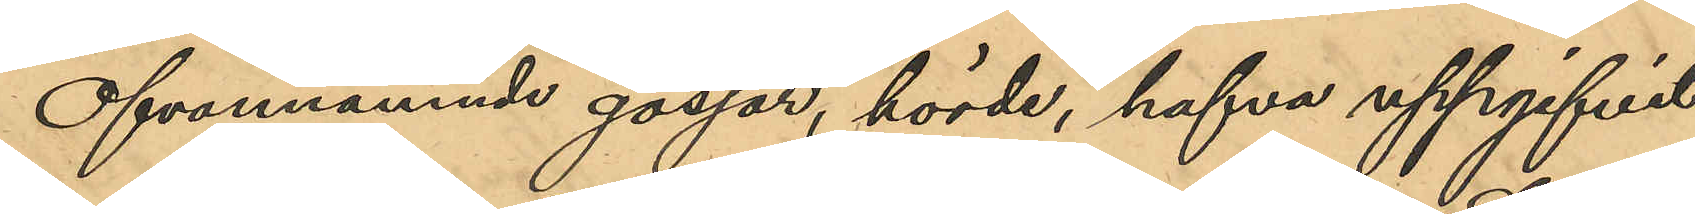Ofvannämnde gossar, hörde, hafva uppgifvit:
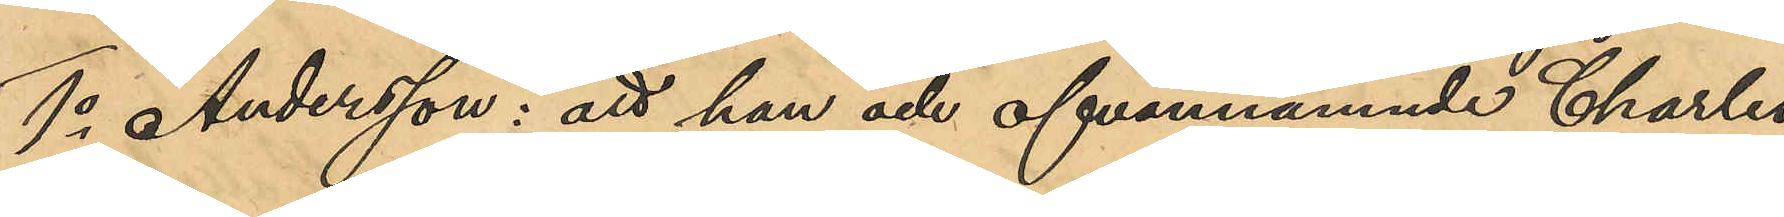1o Andersson: att han och ofvannämnde Charles
